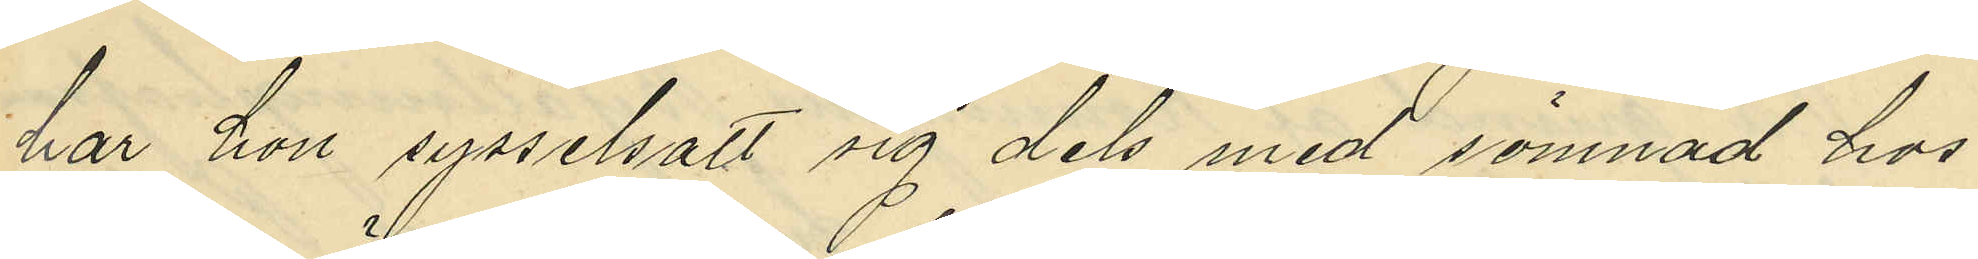har hon sysselsatt sig dels med sömnad hos
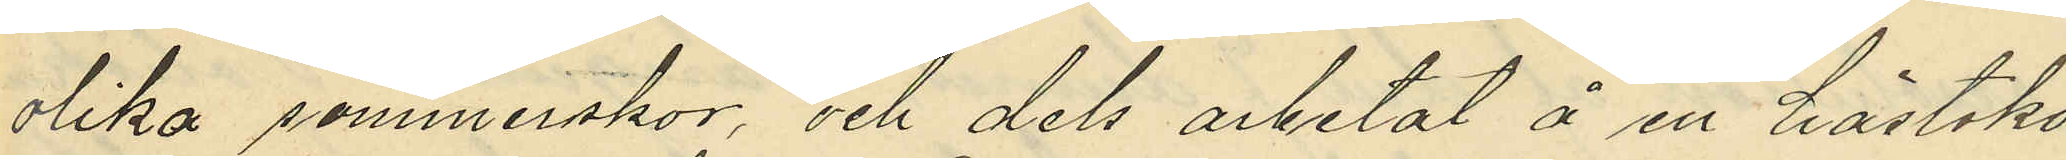olika sömmerskor, och dels arbetat å en hästsko¬
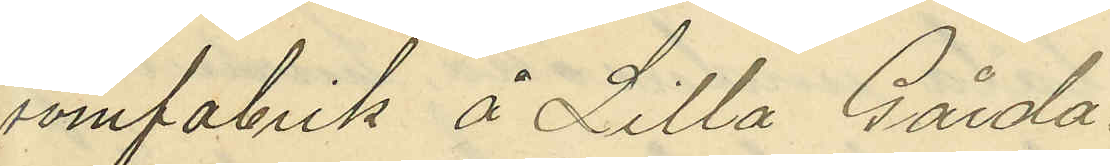sömfabrik å Lilla Gårda.
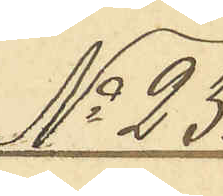No 23.
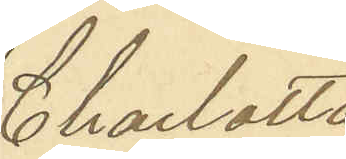Charlotta
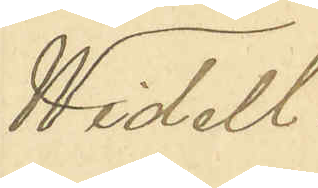Widell.
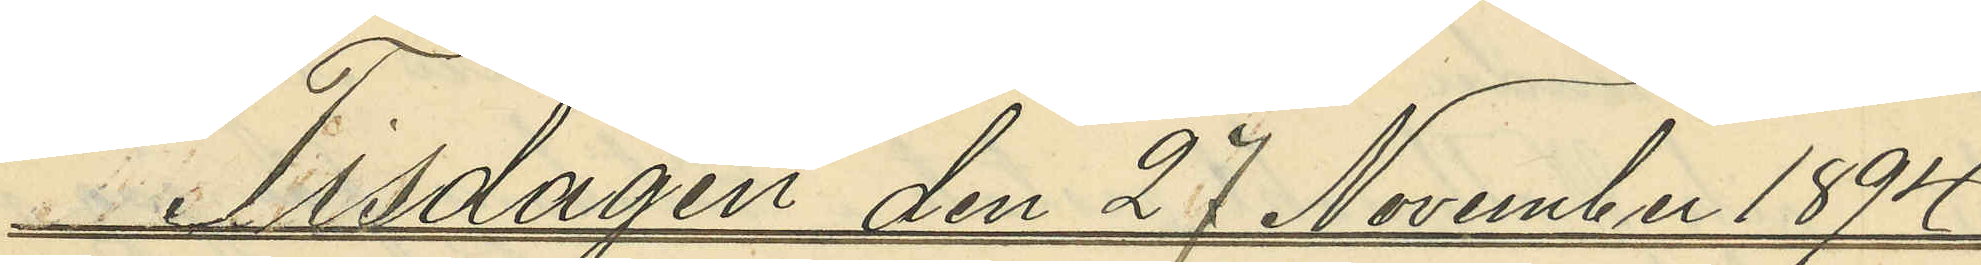Tisdagen den 27 November 1894
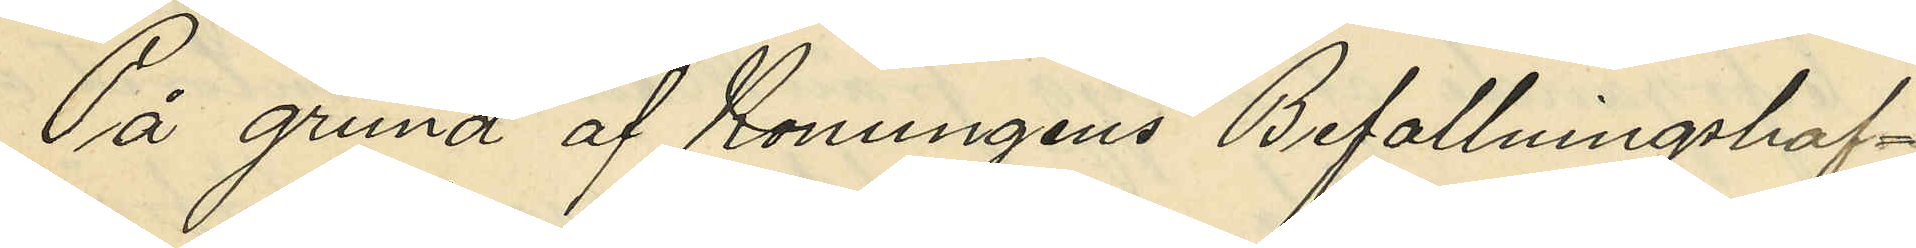På grund af Konungens Befallningshaf¬
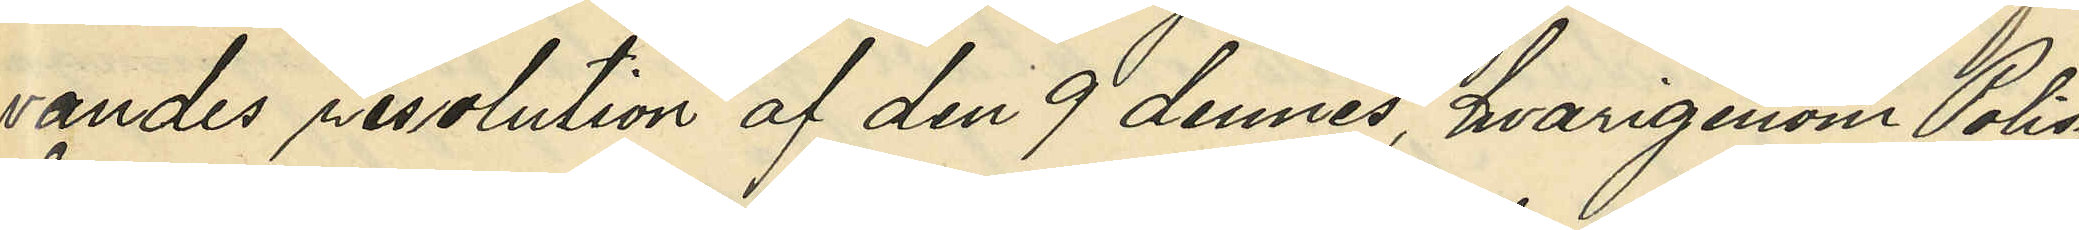vandes resolution af den 9 dennes, hvarigenom Polis¬
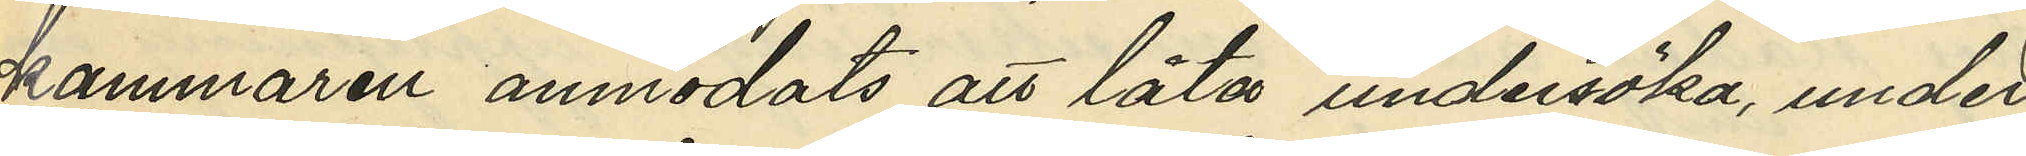kammaren anmodats att låta undersöka, under
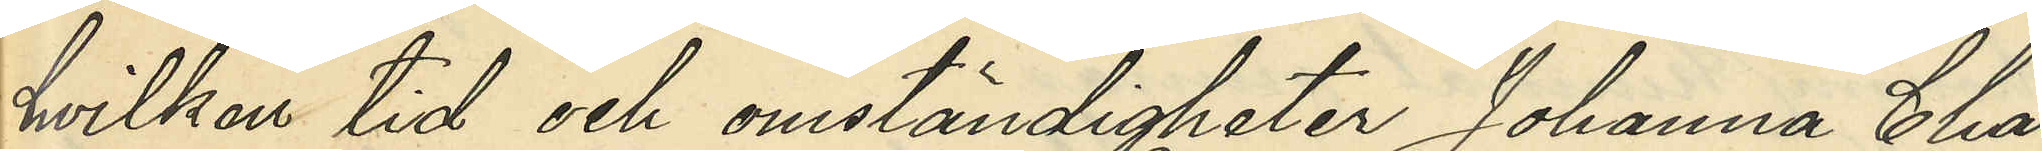hvilken tid och omständigheter Johanna Char¬
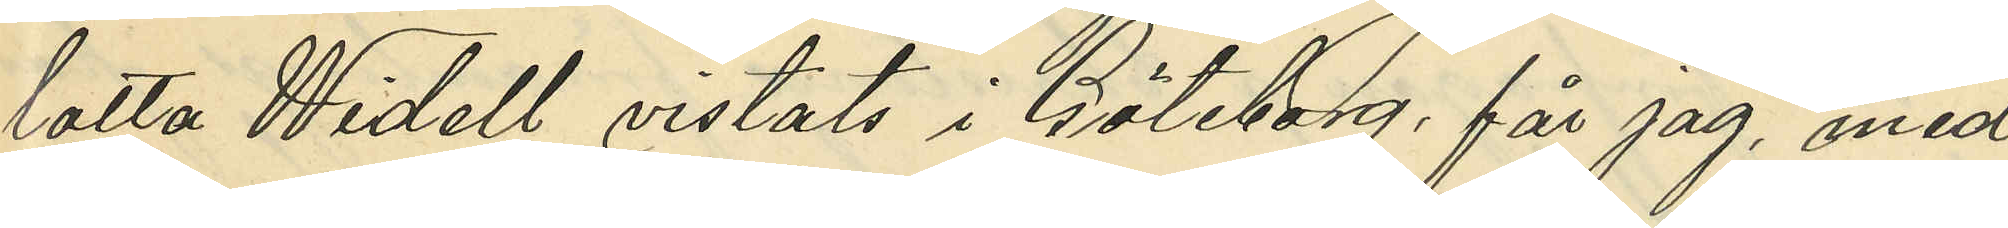lotta Widell vistats i Göteborg, får jag, med
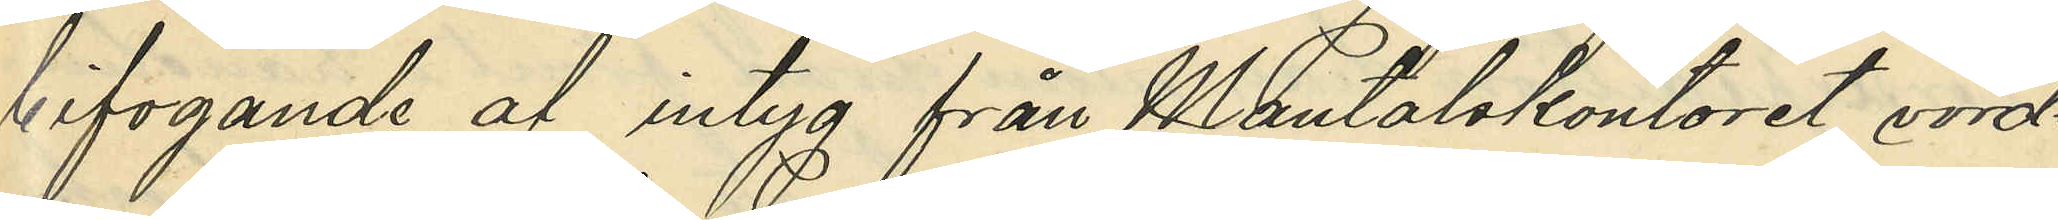bifogande af intyg från Mantalskontoret vörd¬
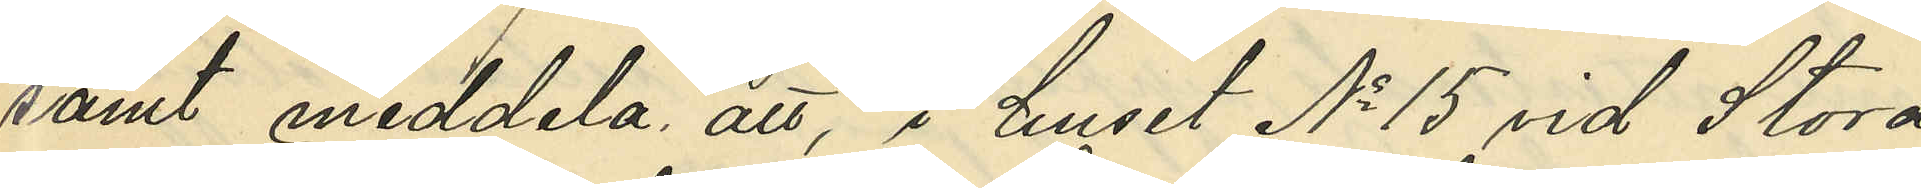samt meddela att, i huset No 15 vid Stora
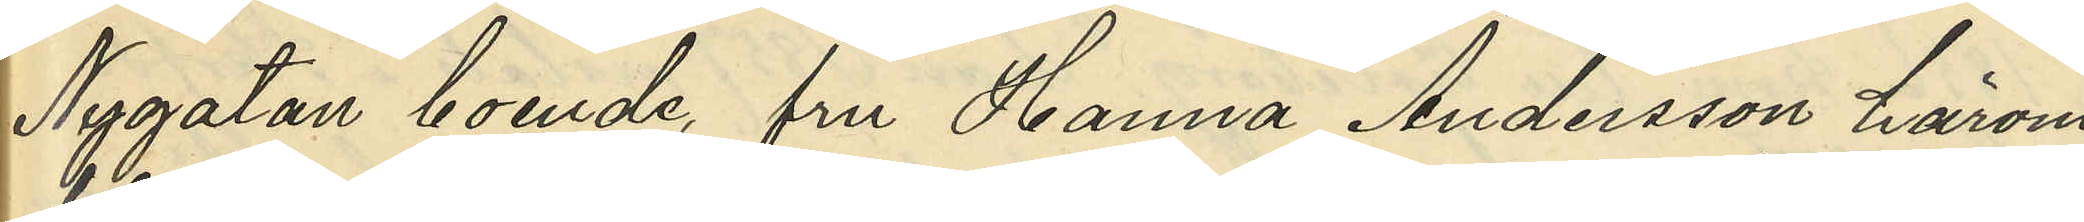Nygatan boende fru Hanna Andersson härom
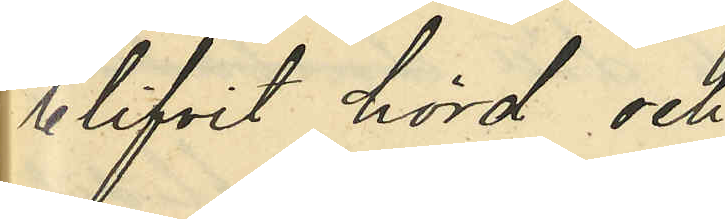blifvit hörd och
